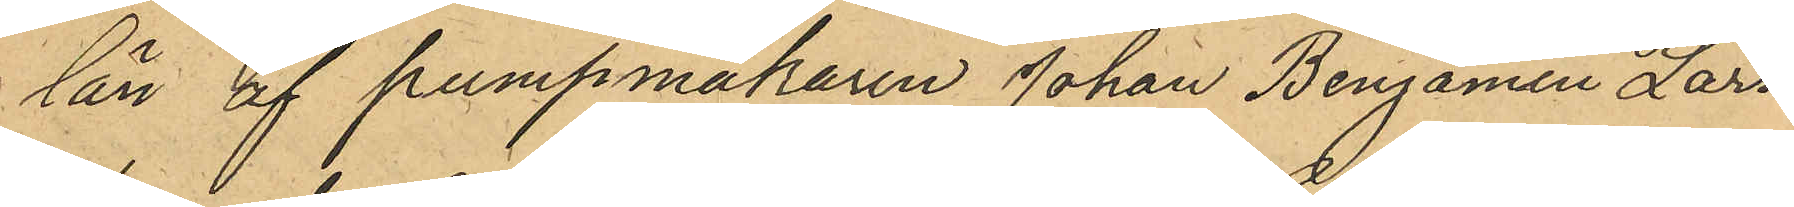län af pumpmakaren Johan Benjamin Lars¬
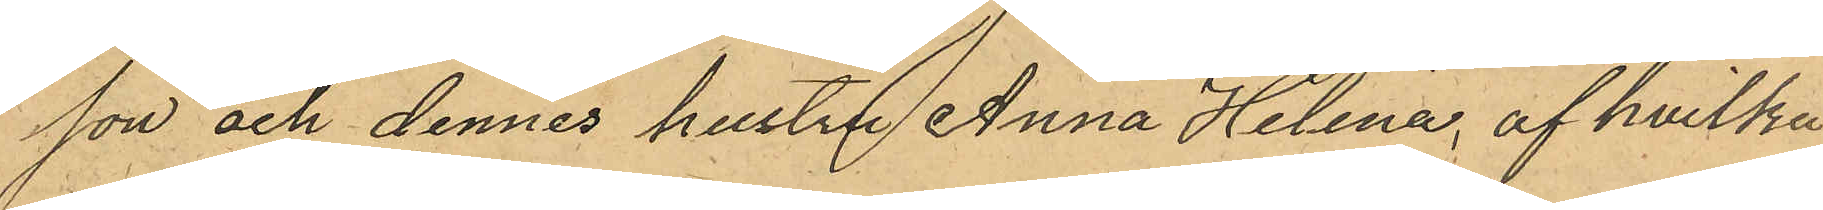son och dennes hustru Anna Helena, af hvilka
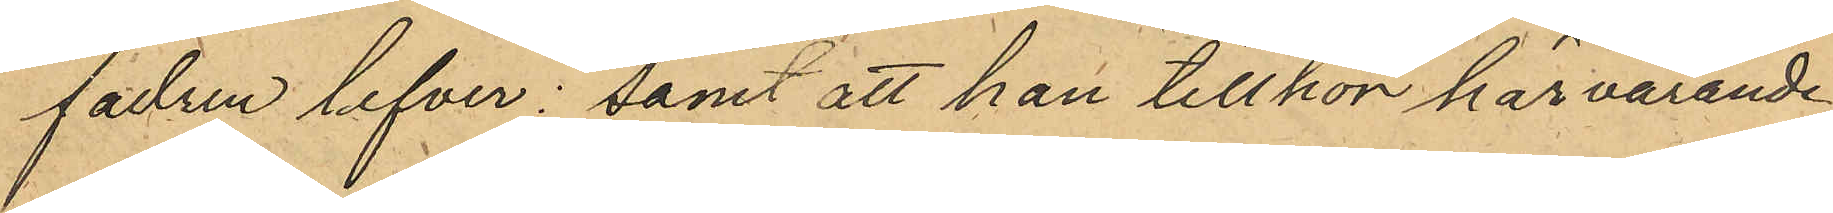fadren lefver; samt att han tillhör härvarande
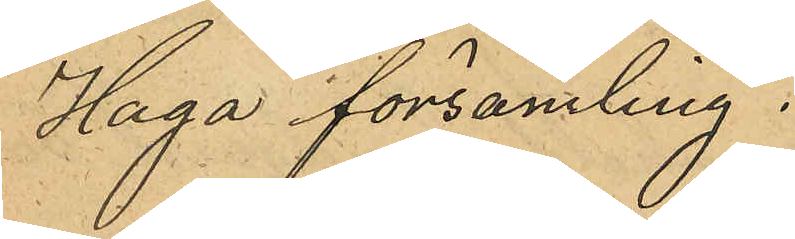Haga församling.
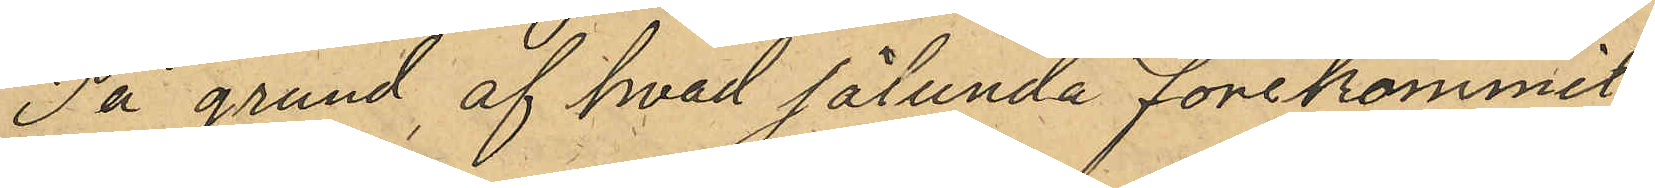På grund af hvad sålunda förekommit
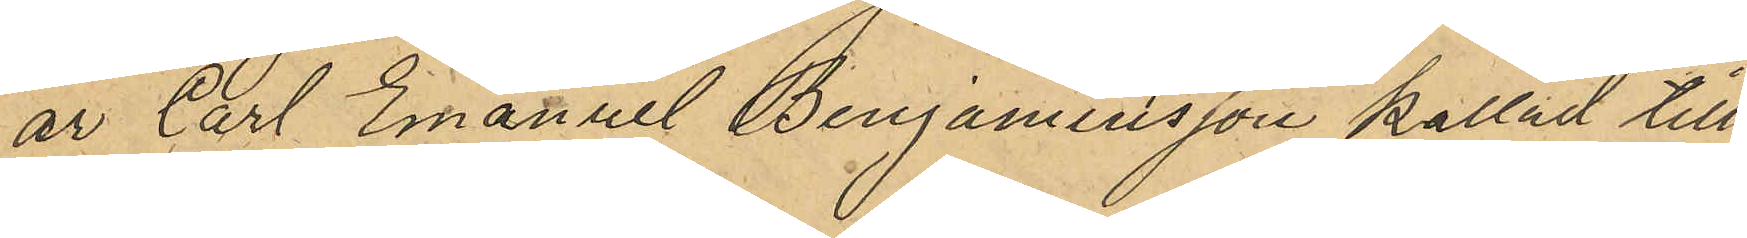är Carl Emanuel Benjaminsson kallad till
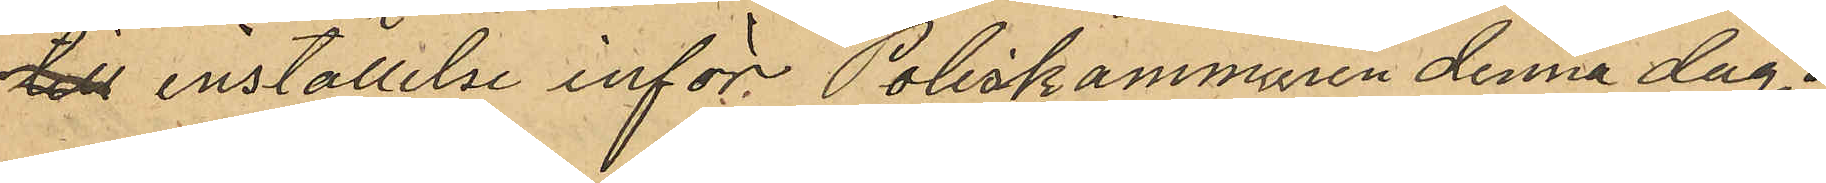till inställelse inför Poliskammaren denna dag.
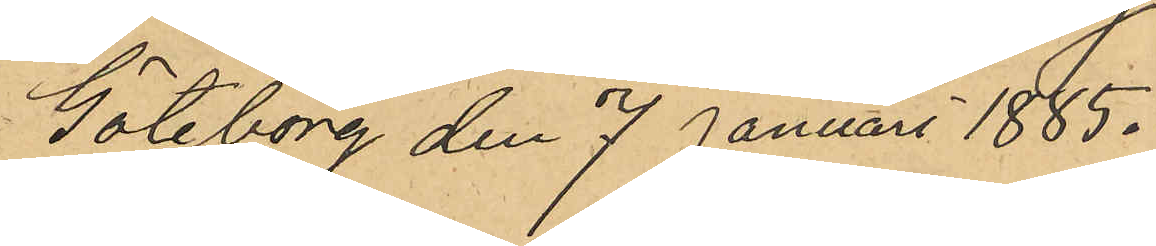Göteborg den 7 Januari 1885.
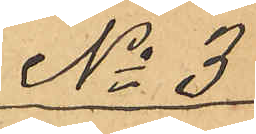No 3
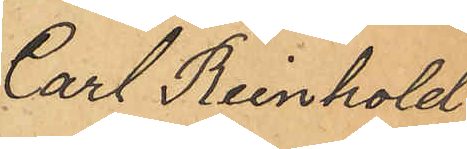Carl Reinhold
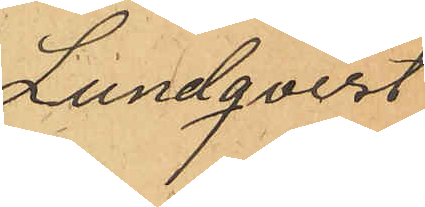Lundqvist
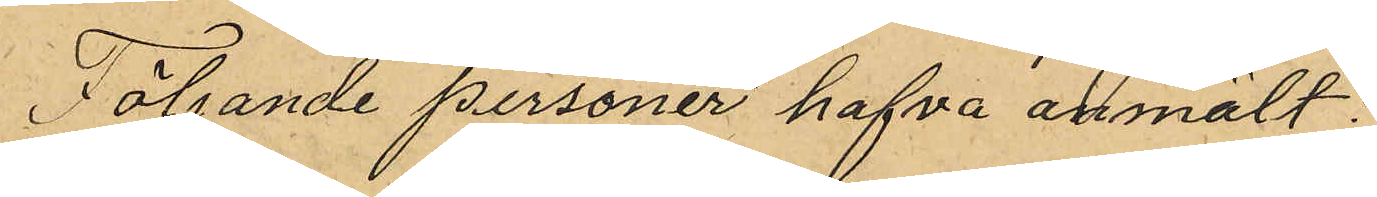Följande personer hafva anmält:
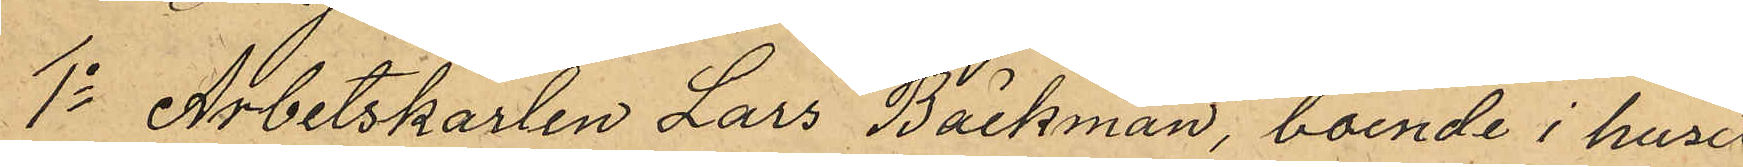1o Arbetskarlen Lars Bäckman, boende i huset
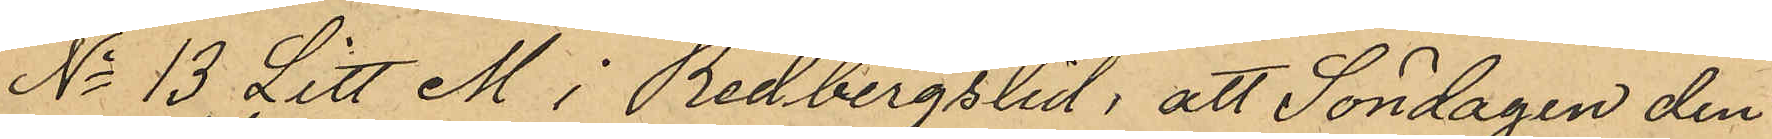No 13 Litt M i Redbergslid; att Söndagen den
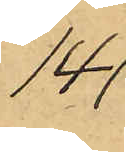14
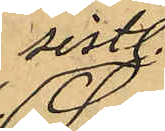sistl.
